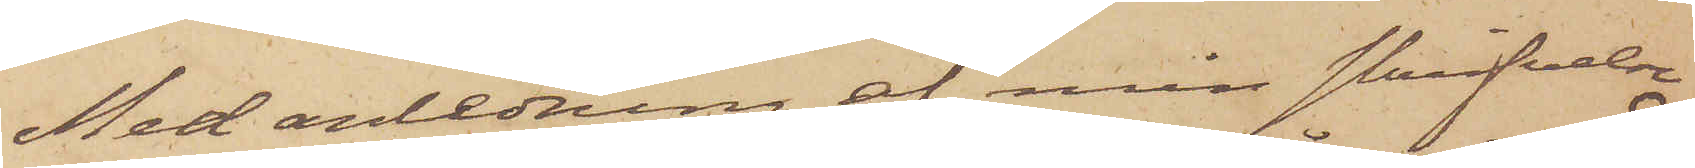Med anledning af min skrifvelse
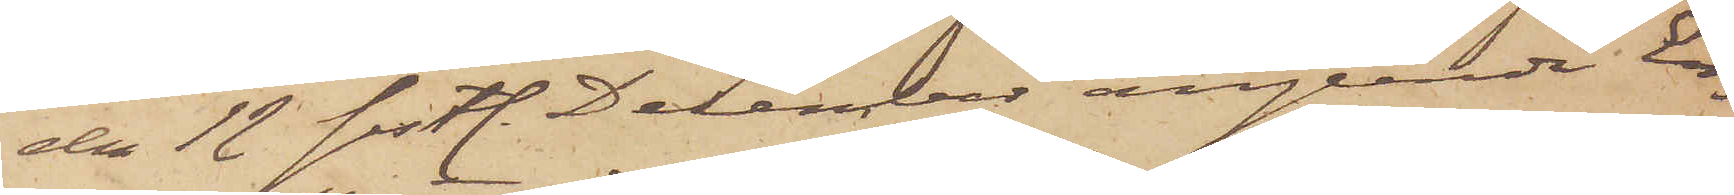den 12 sistl. December angående En¬
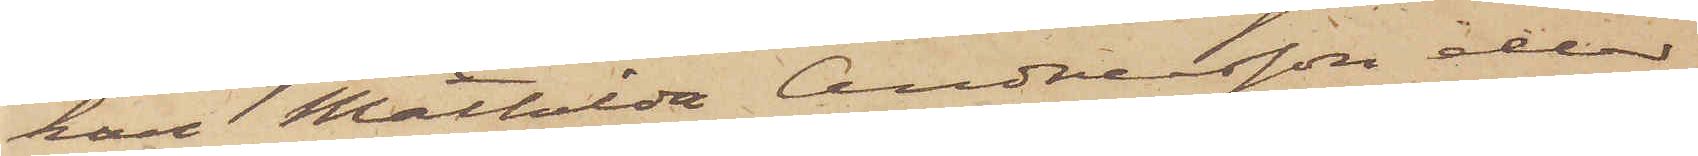kan Mathilda Andersson eller
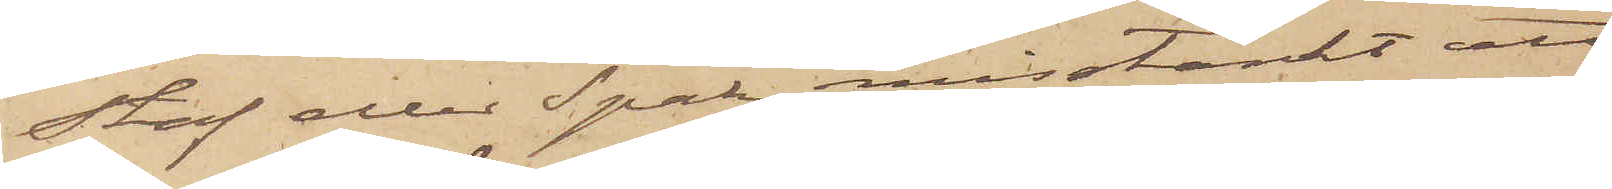Staf eller Spak, misstänkt att
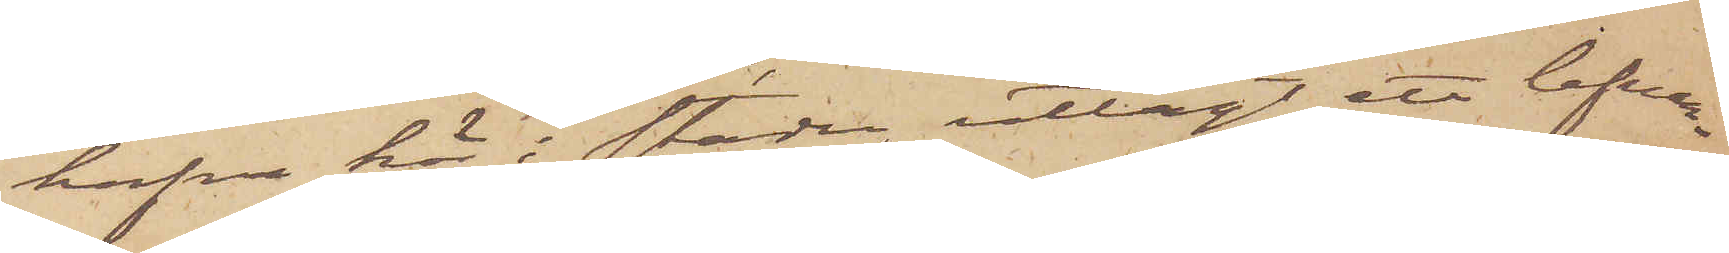hafva här i staden utlagt ett lefvan¬
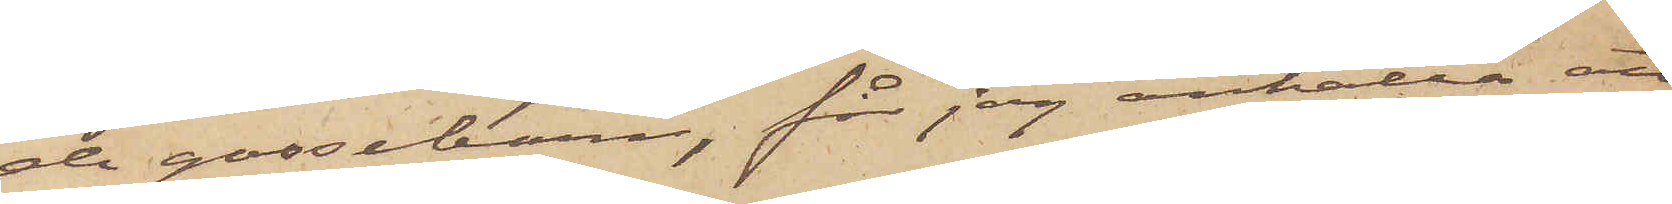de gossebarn, får jag anhålla att
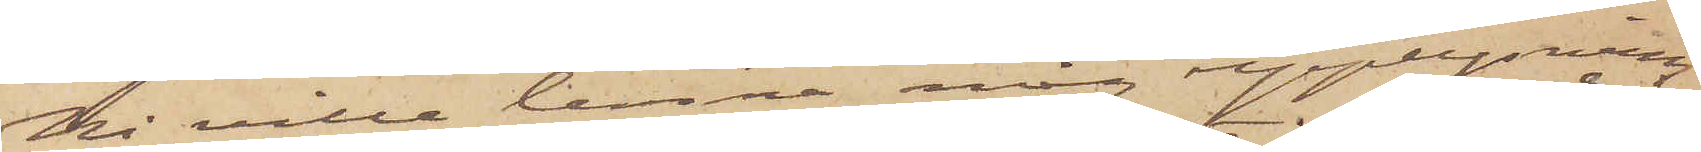Ni ville lemna mig upplysning
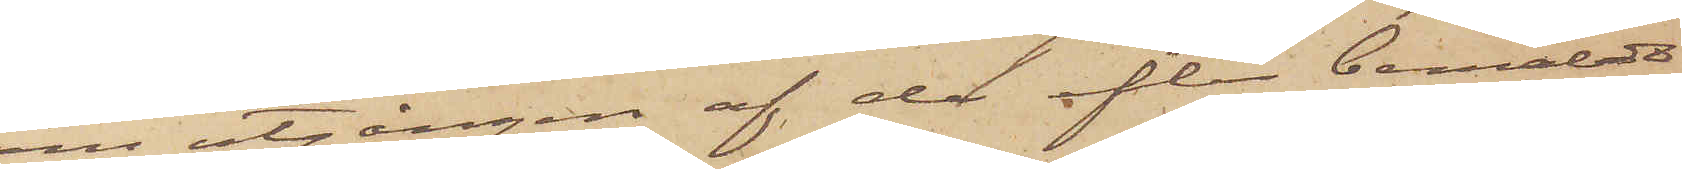om utgången af de efter bemälda
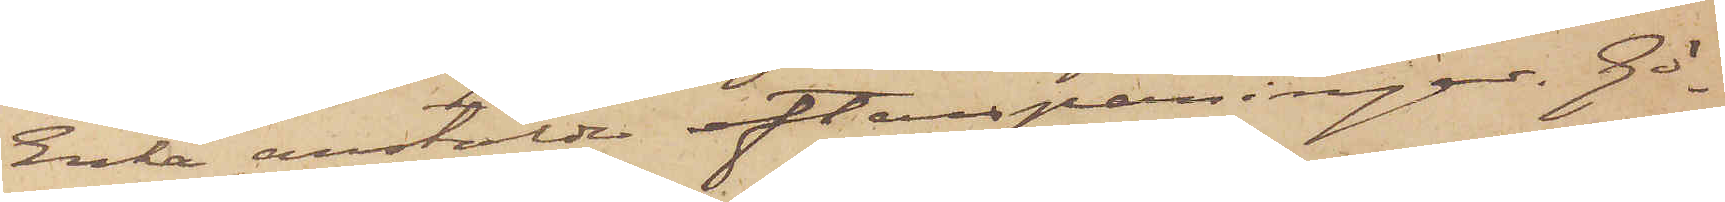Enka anstälda efterspaningar. Gö¬
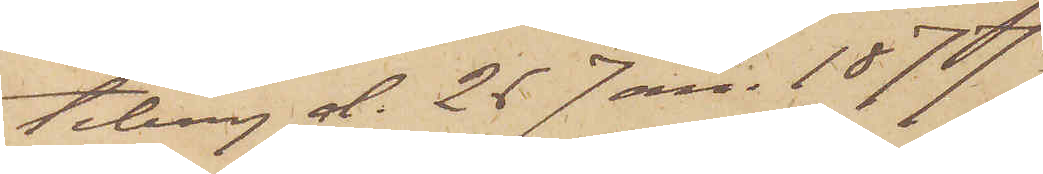teborg d. 26 Jan. 187.
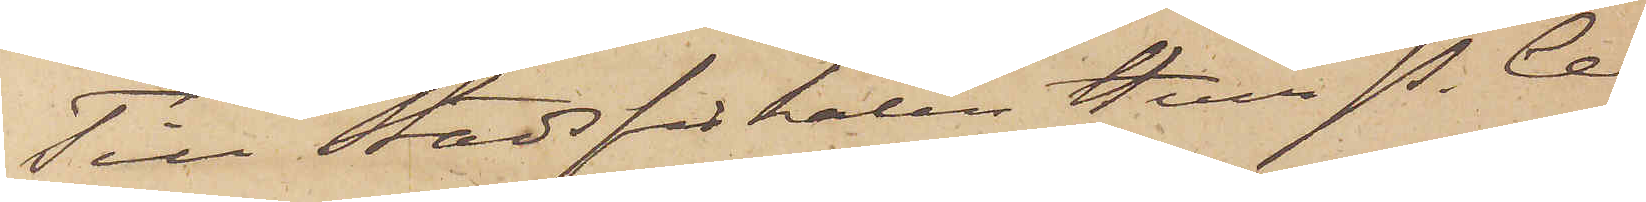Till Stadsfiskalen Herr P. Ce¬
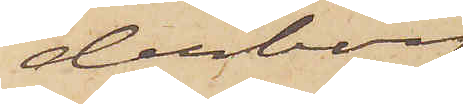derborg
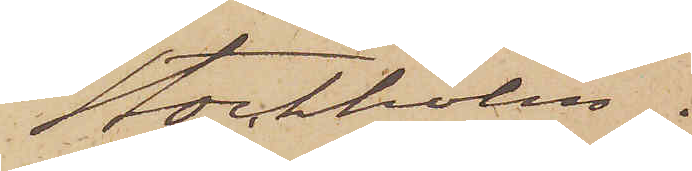Stockholm.
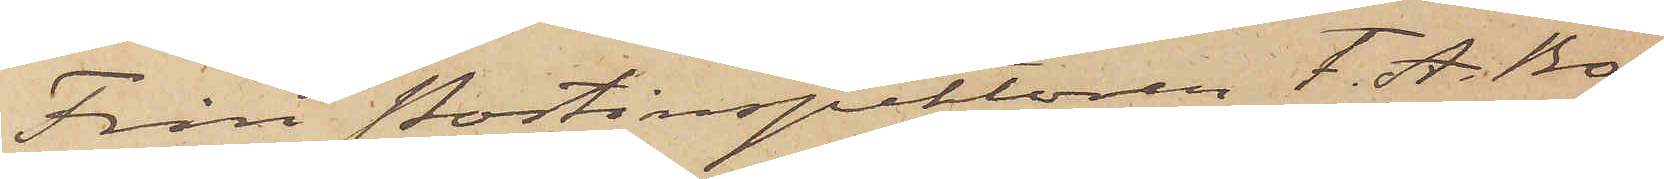Från Postinspektören F. A. Bo¬
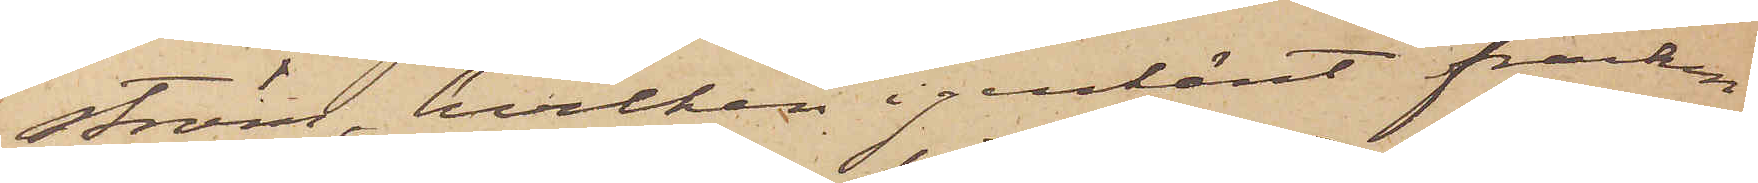ström, hvilken igenkänt fracken
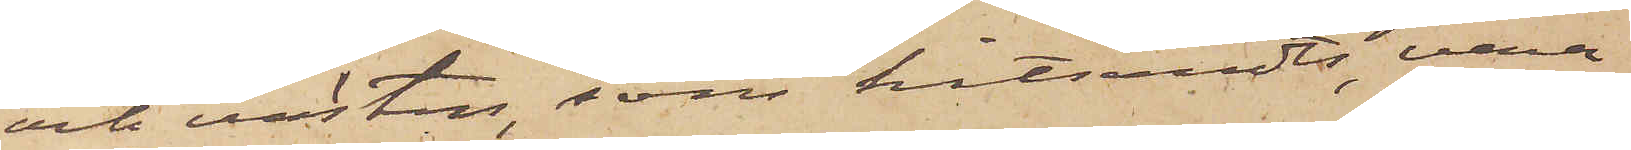och västen, som hitsändts, vara¬
